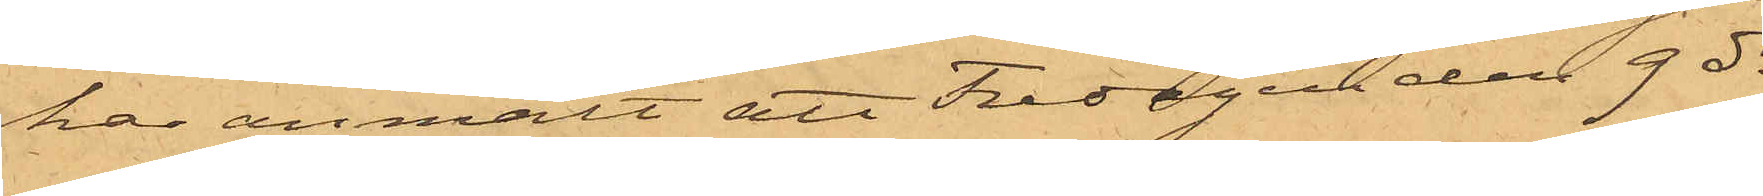har anmält att Fredagen den 9 ds
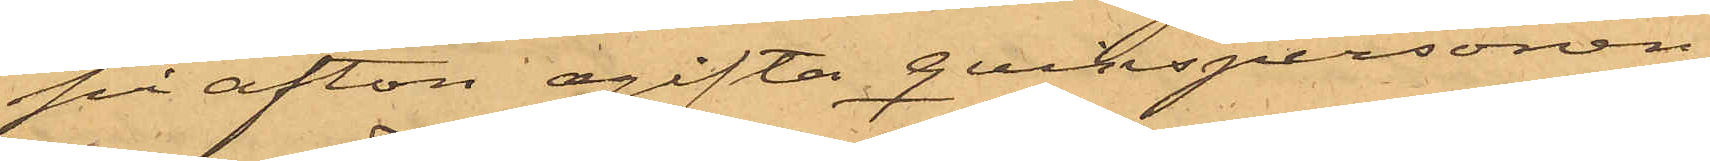på afton ogifta qvinspersonen
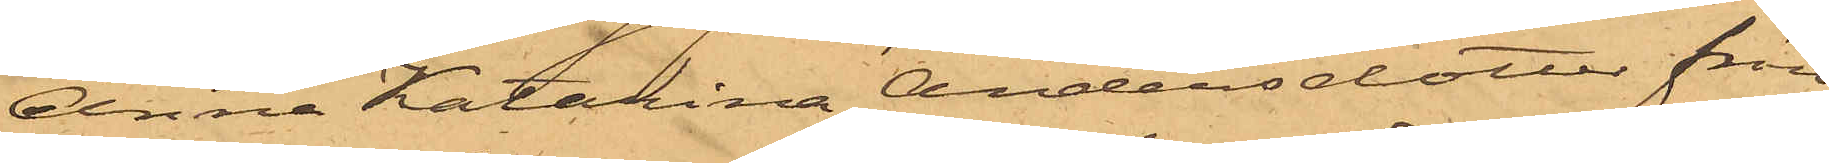Anna Katarina Andersdotter från
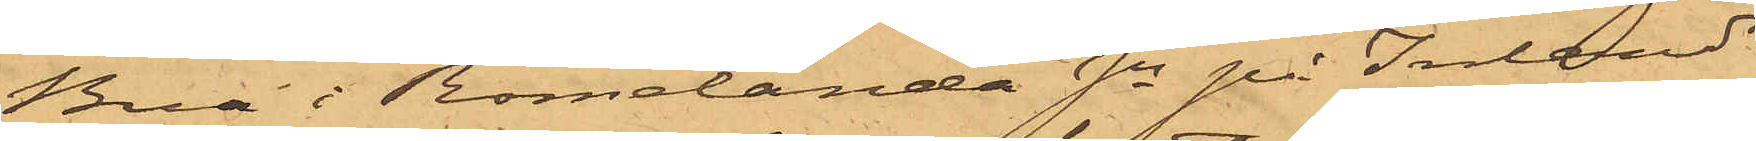Bua i Romelanda Sn på Inland
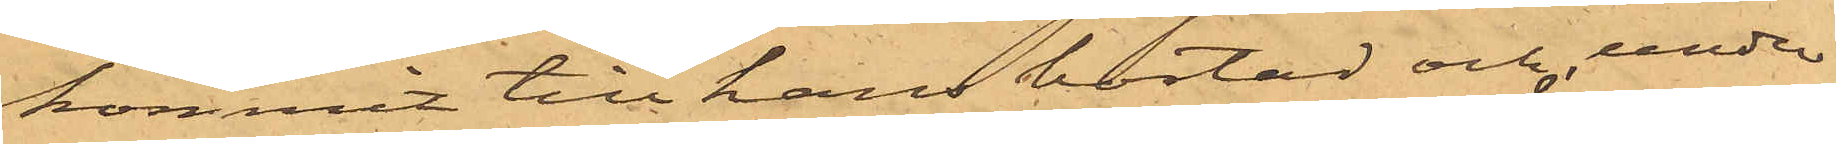kommit till hans bostad och under
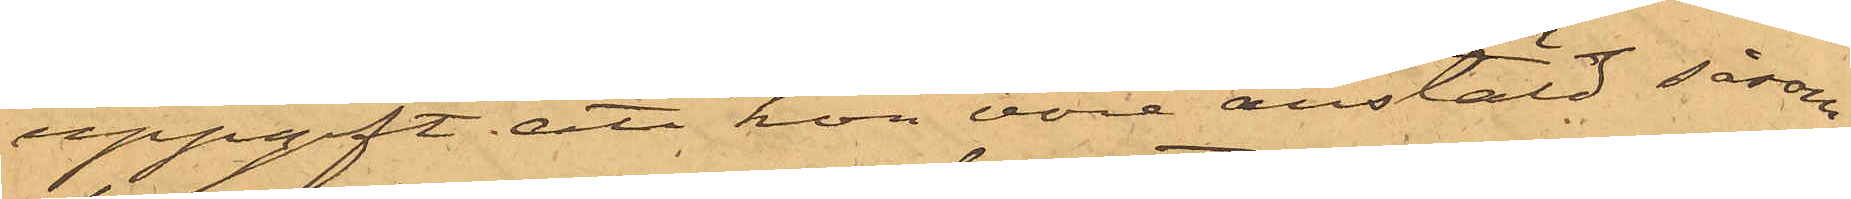uppgift att hon vore anstäld såsom
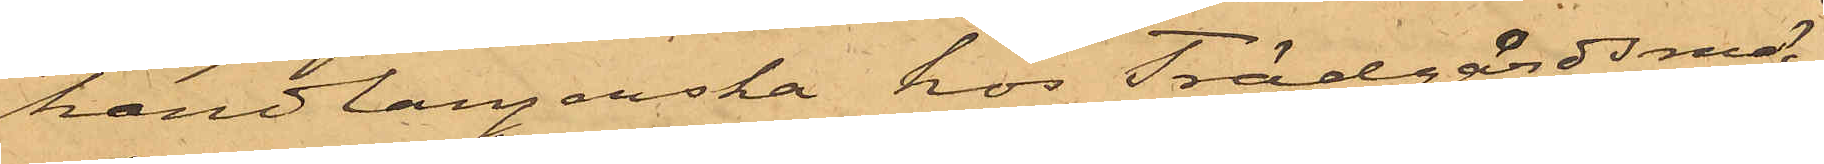handlangerska hos Trädgårdsmä¬
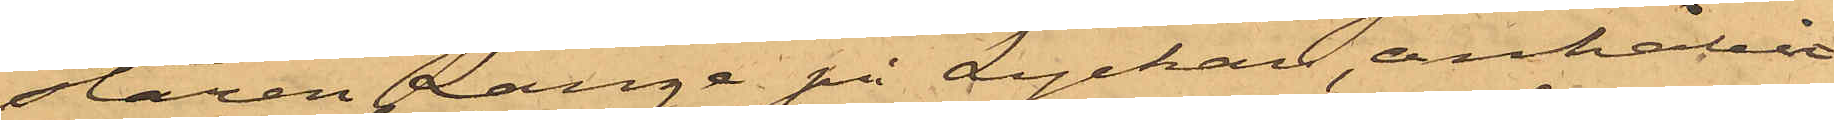staren Lange på Lyckan anhållit
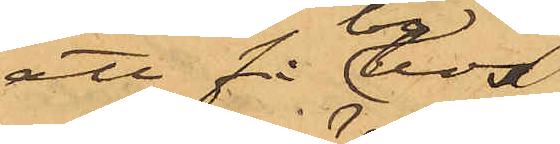att få bo hos
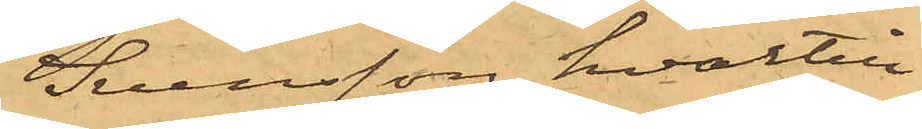Svensson, hvartill
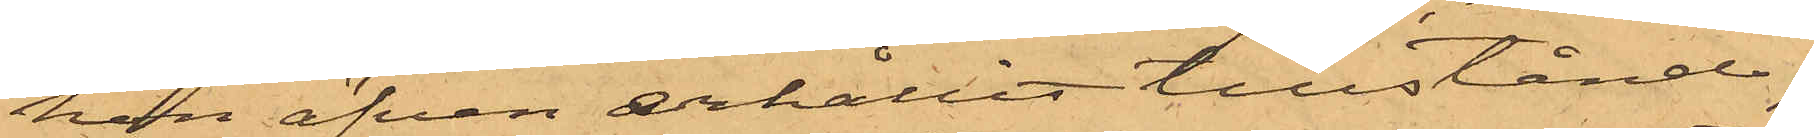hon äfven erhållit tillstånd;
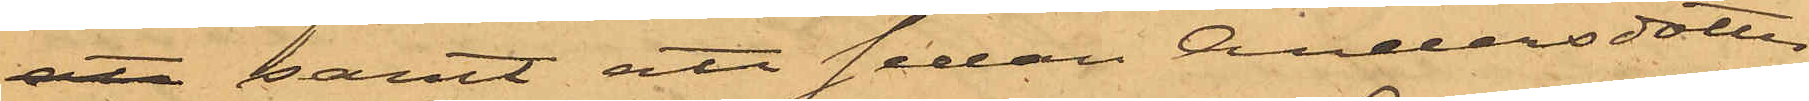att samt att sedan Andersdotter
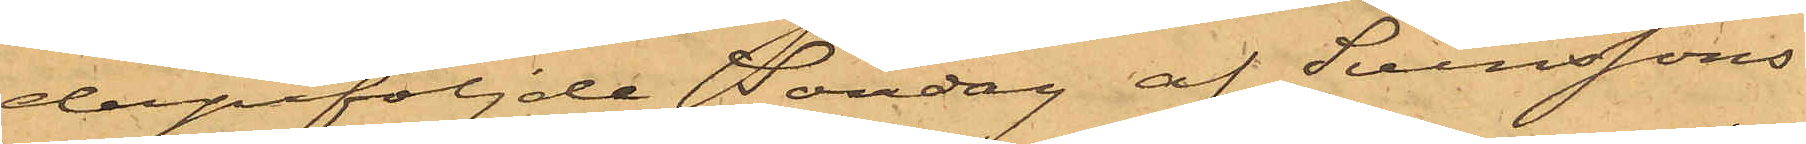derpåföljde Söndag af Svenssons
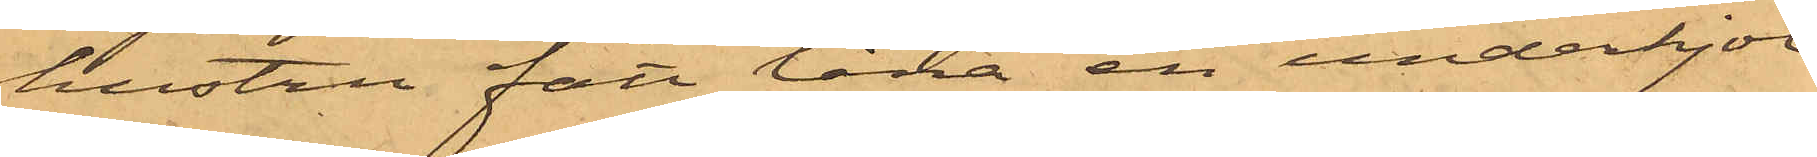hustru fått låna en underkjol
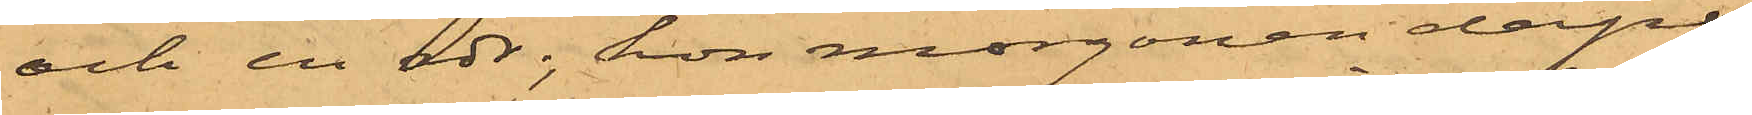och en rdr, hon morgonen derpå
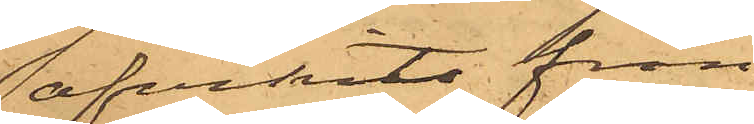afvikit från
